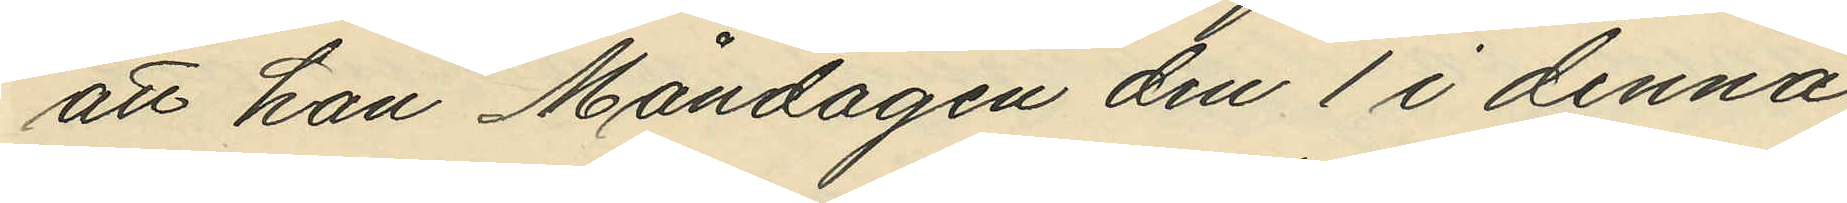att han Måndagen den 1 i denna
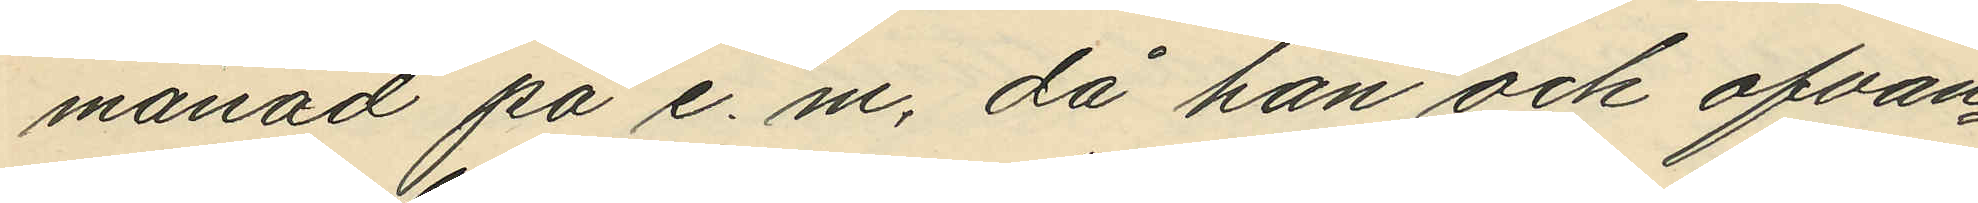månad på e. m, då han och ofvan¬
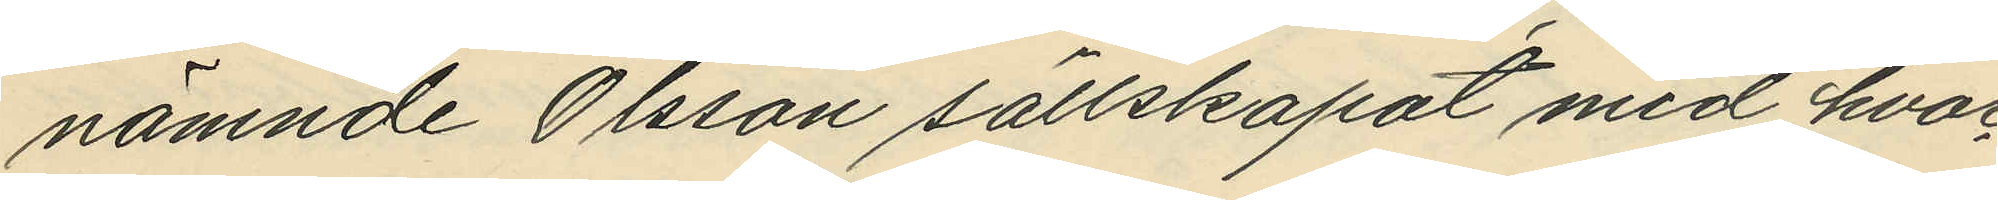nämnde Olsson sällskapat med hvar¬
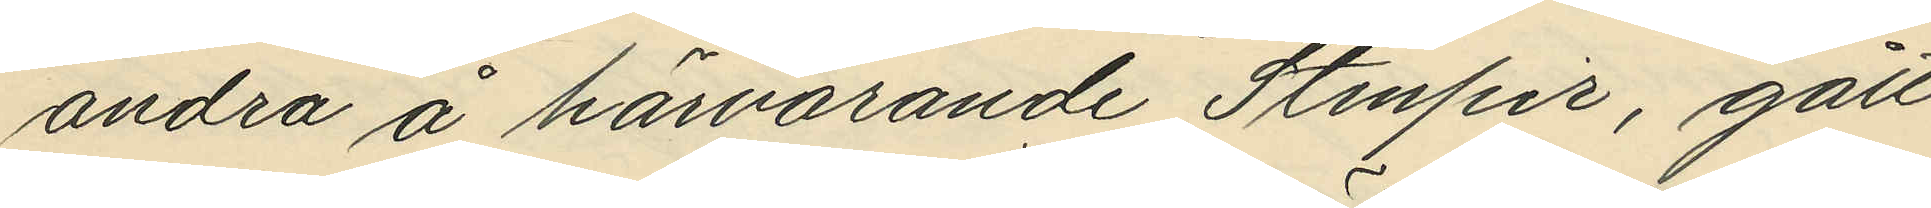andra å härvarande Stenpir, gått
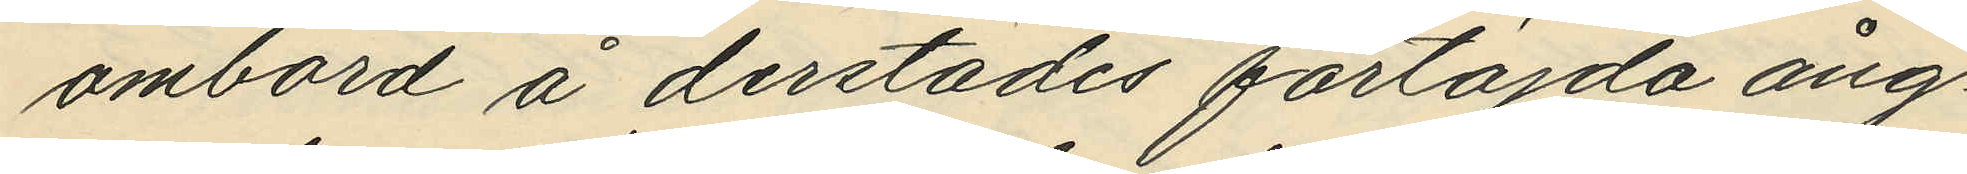ombord å derstädes förtöjda ång¬
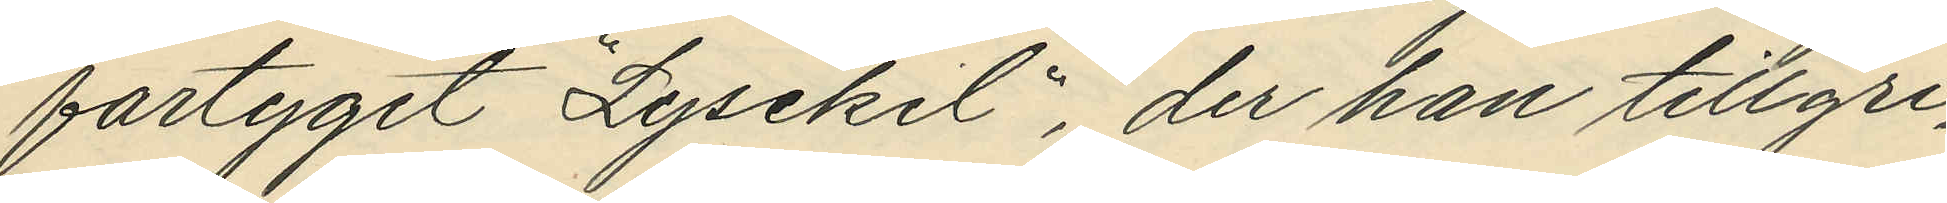fartyget "Lysekil", der han tillgri¬
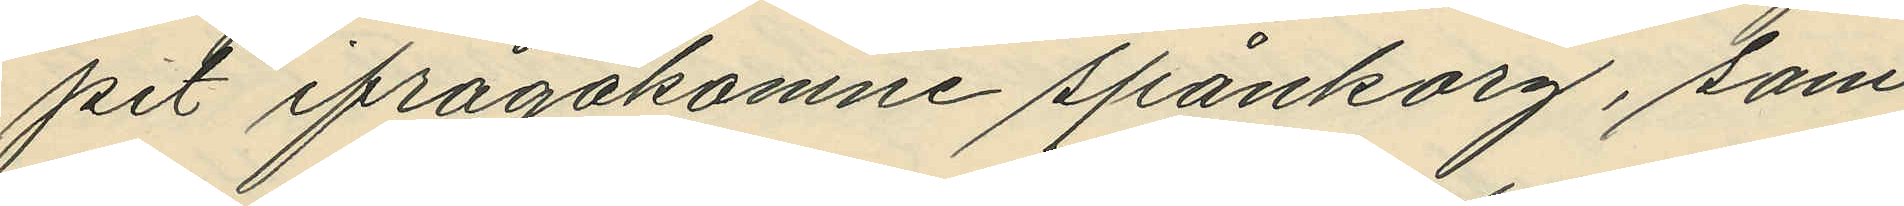pit ifrågakomne spånkorg, som
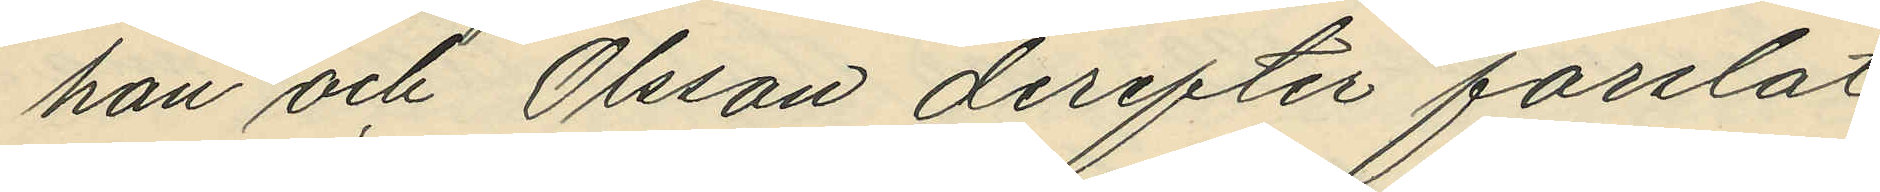han och Olsson derefter forslat
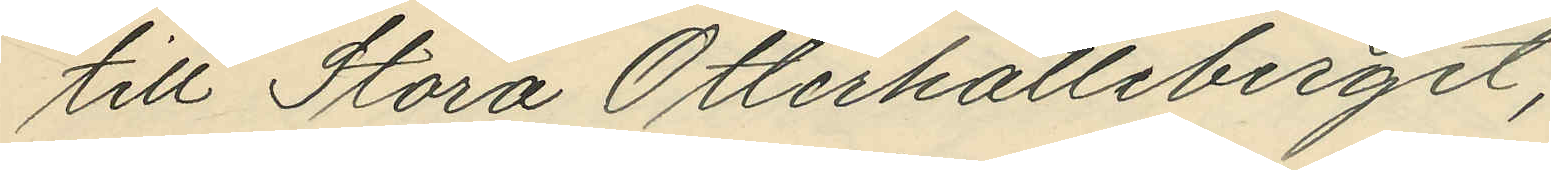till Stora Otterhälleberget;
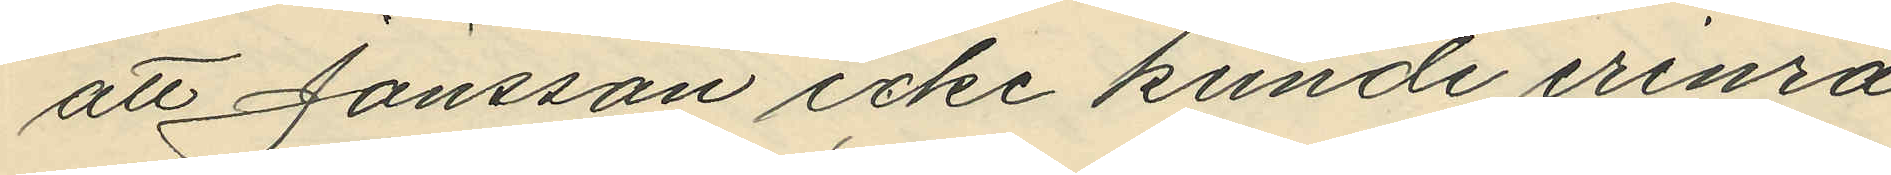att Jönsson icke kunde erinra
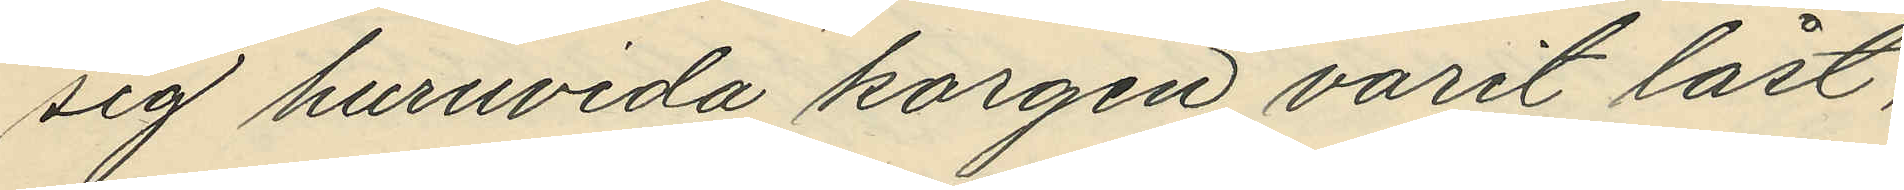sig huruvida korgen varit låst,
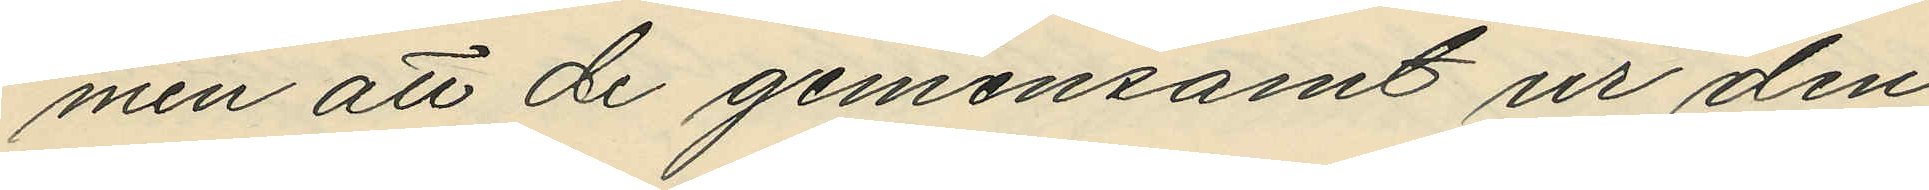men att de gemensamt ur den¬
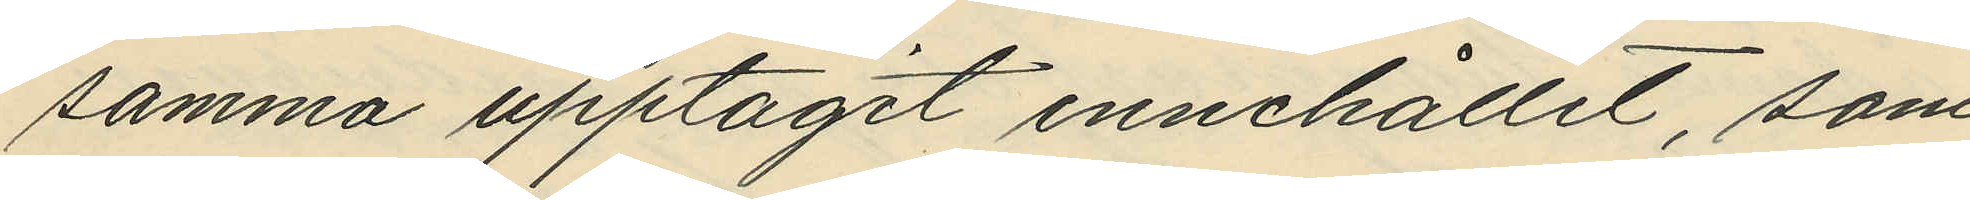samma upptagit innehållet, som
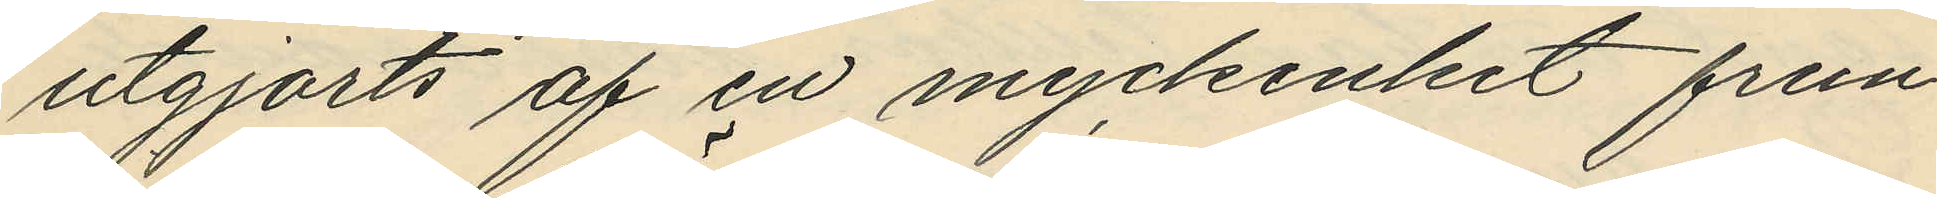utgjorts af en myckenhet frun¬
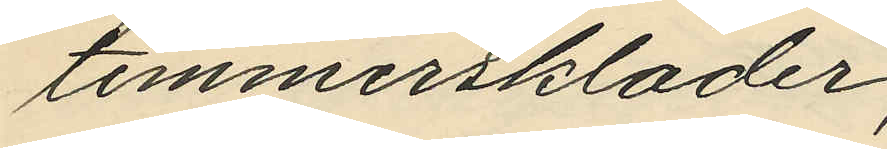timmerskläder;
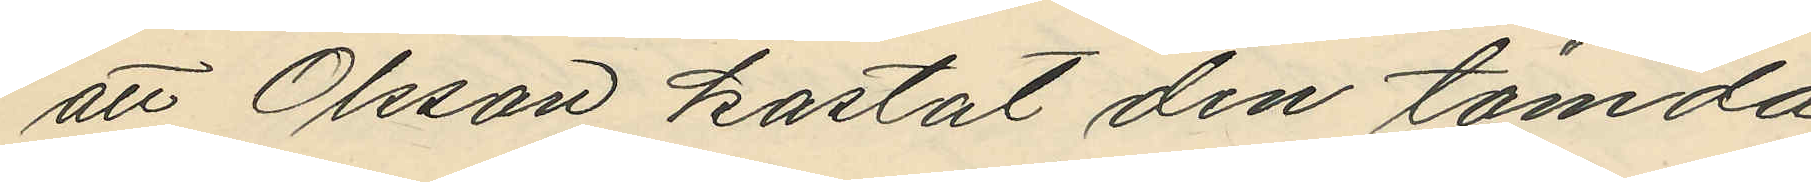att Olsson kastat den tömda
